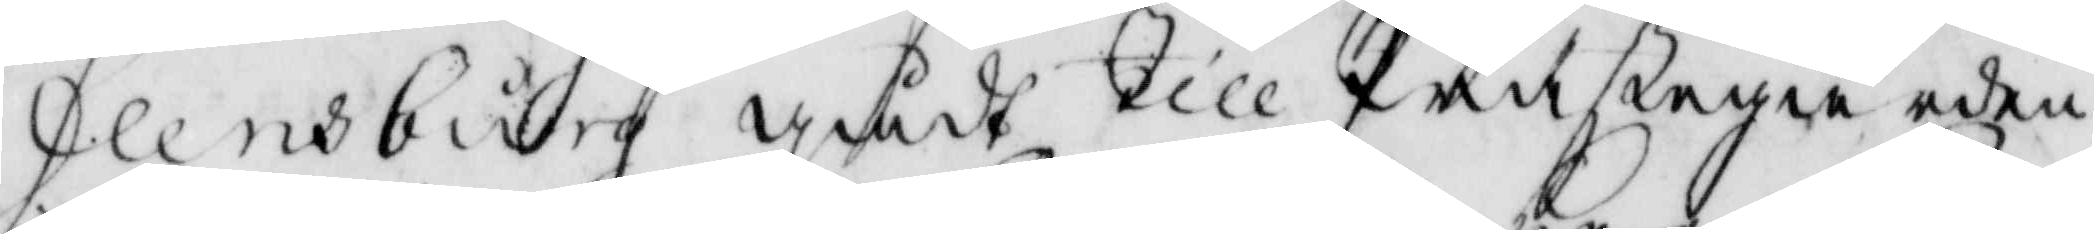Flensburg gådt till Prästegården
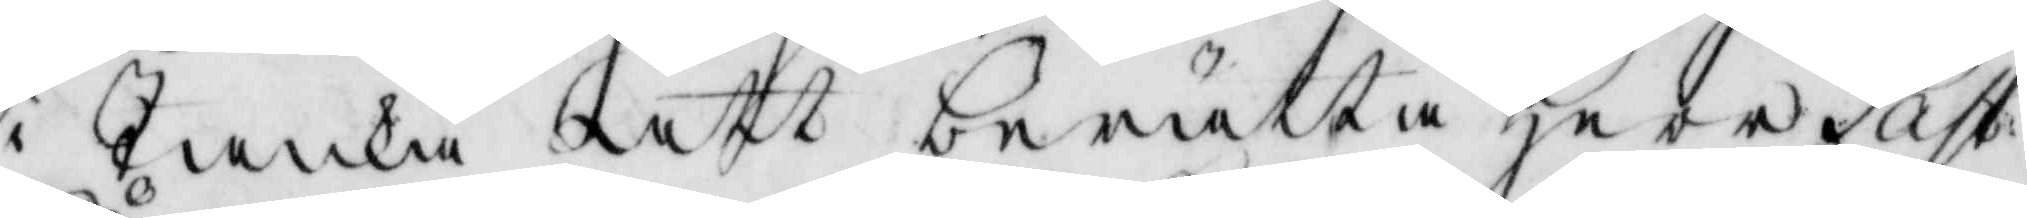i Tanka att berätta Herr Past: 
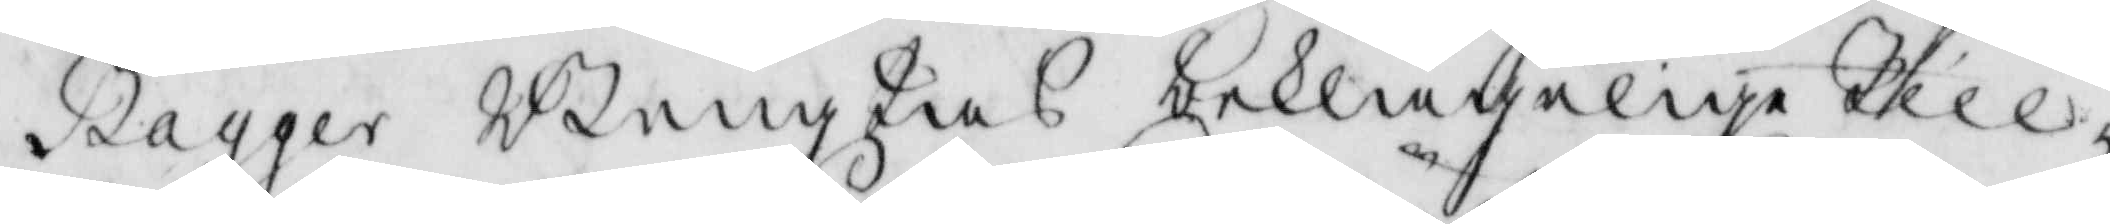Tagger Bengtas beklagelige Till¬
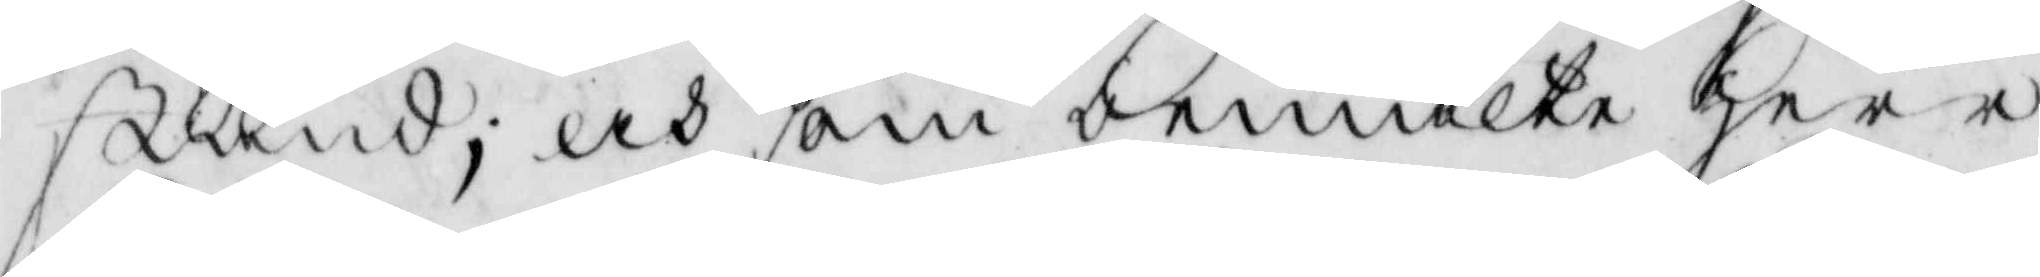stånd; och som bemälte Herr
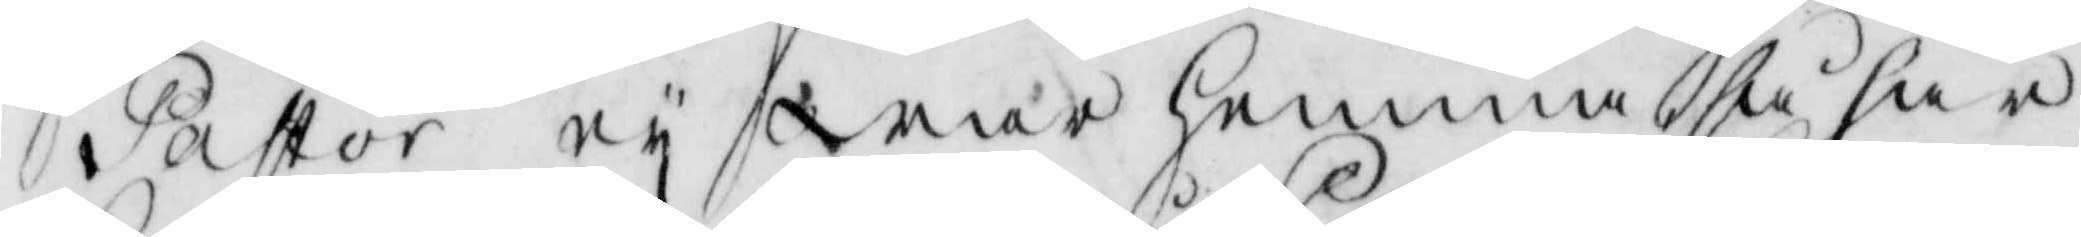Pastor ey war hemma så har
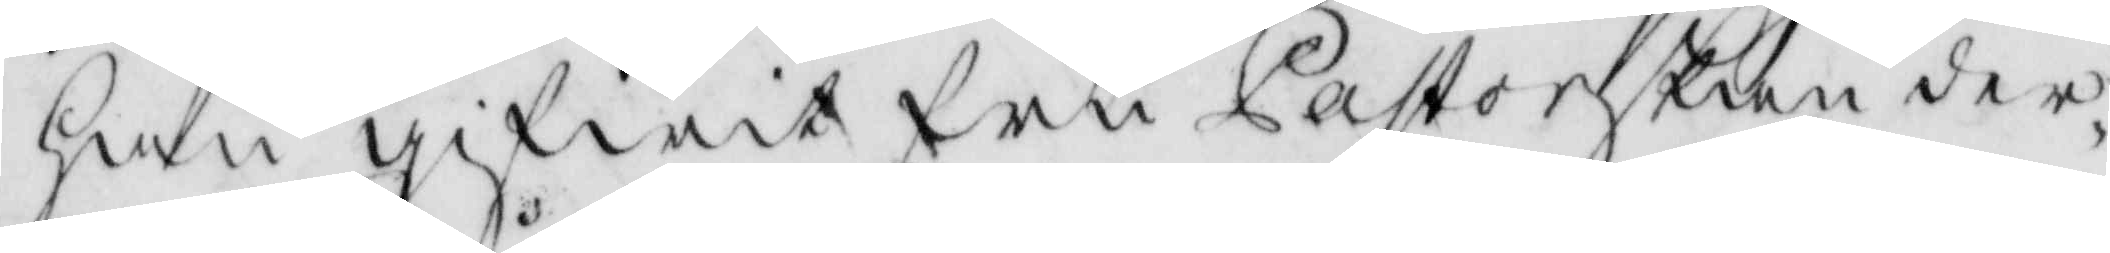han gifwit fru Pastorskan der
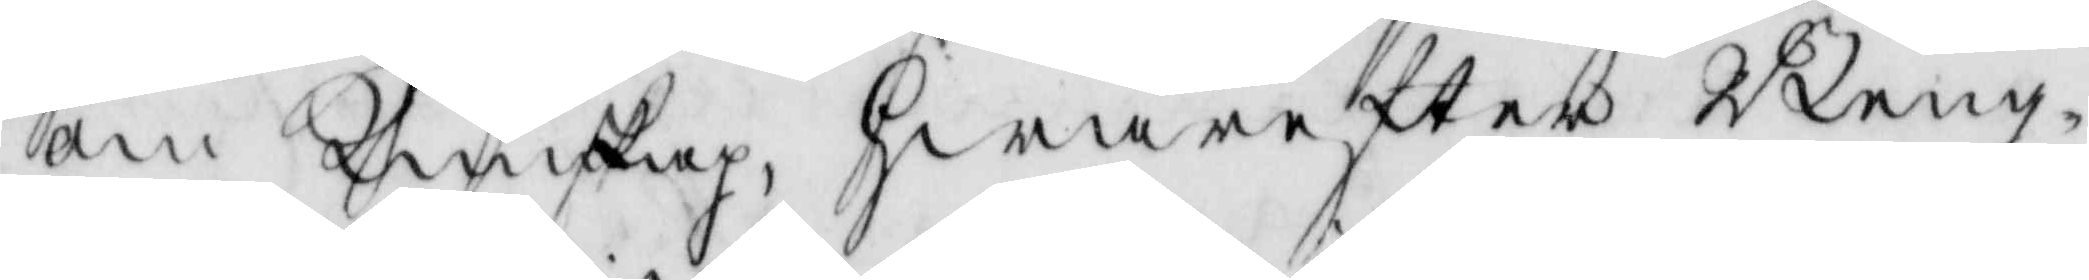om Qunskap, hwarefter Beng¬
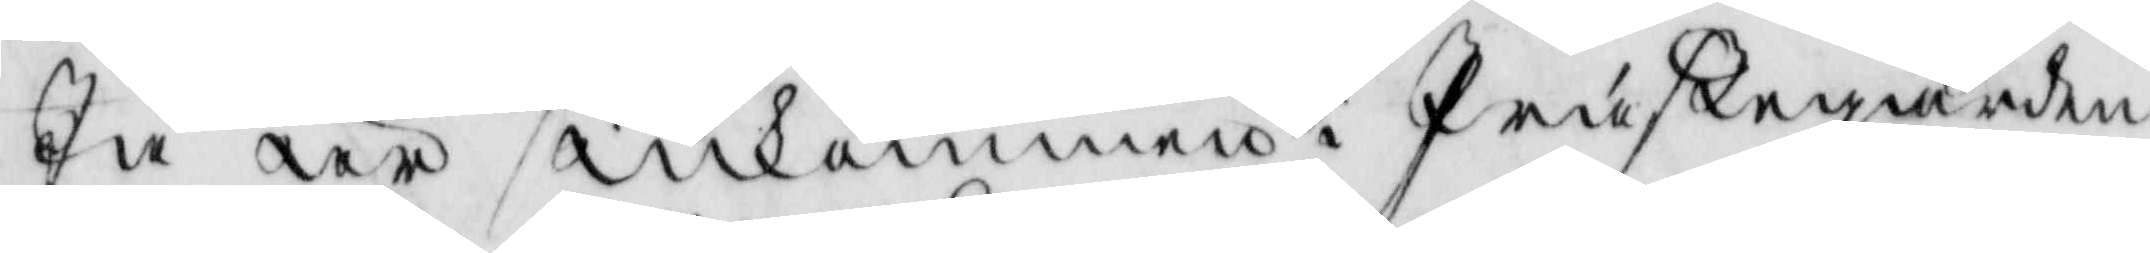ta är inkommen i Prästegården
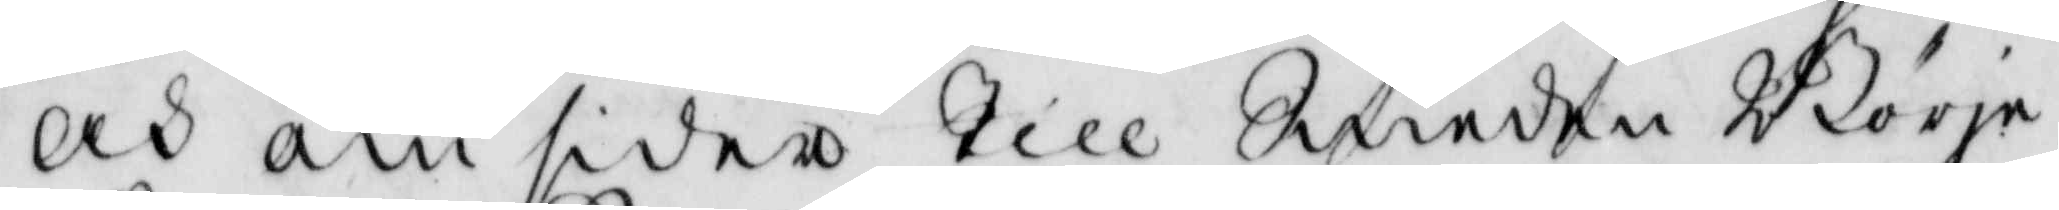och omsider till Smeden Börje
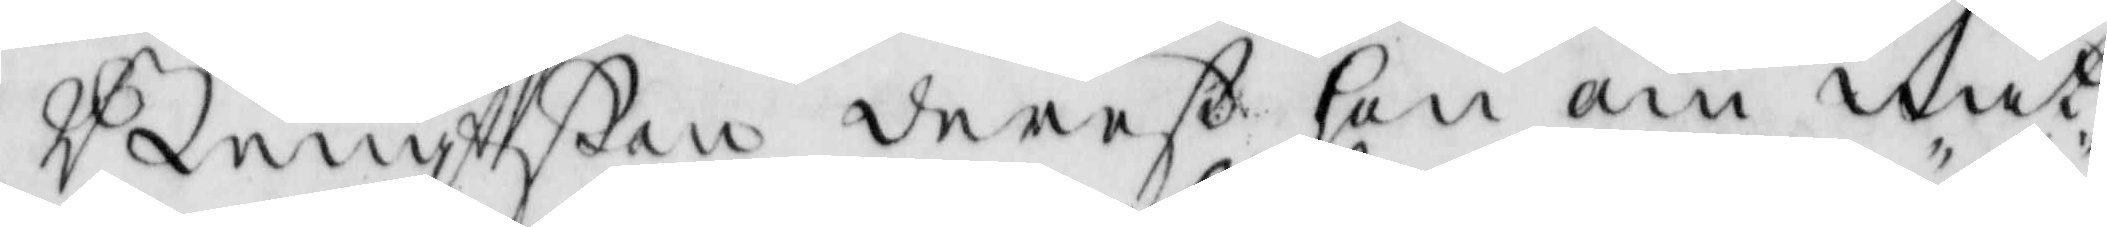Bengtßon derest hon om nat¬
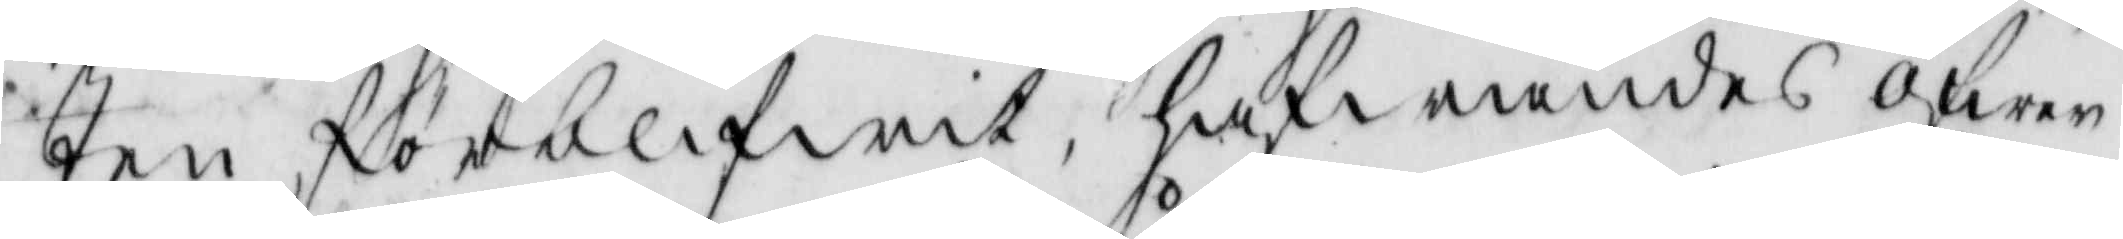ten förblifwit, hafwandes öfwer
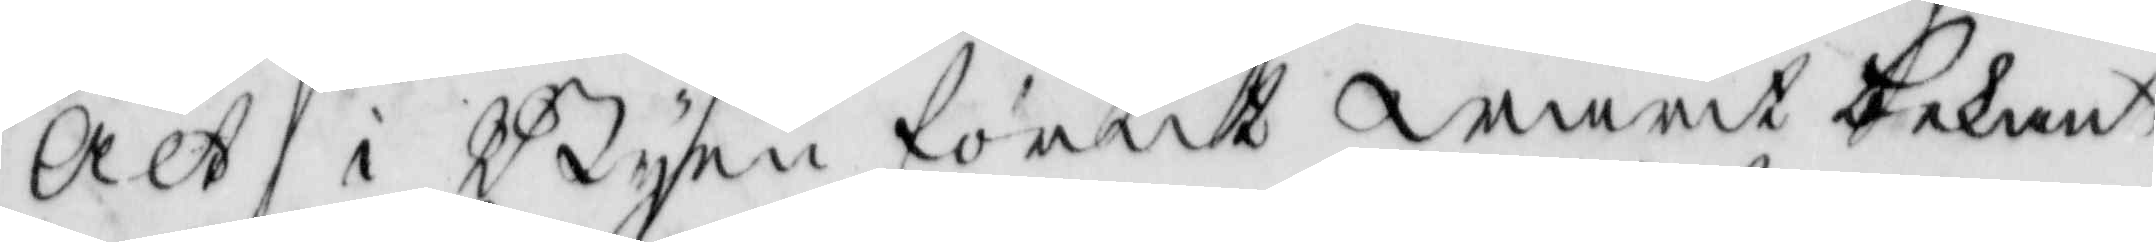alt i Byen förut warit bekant
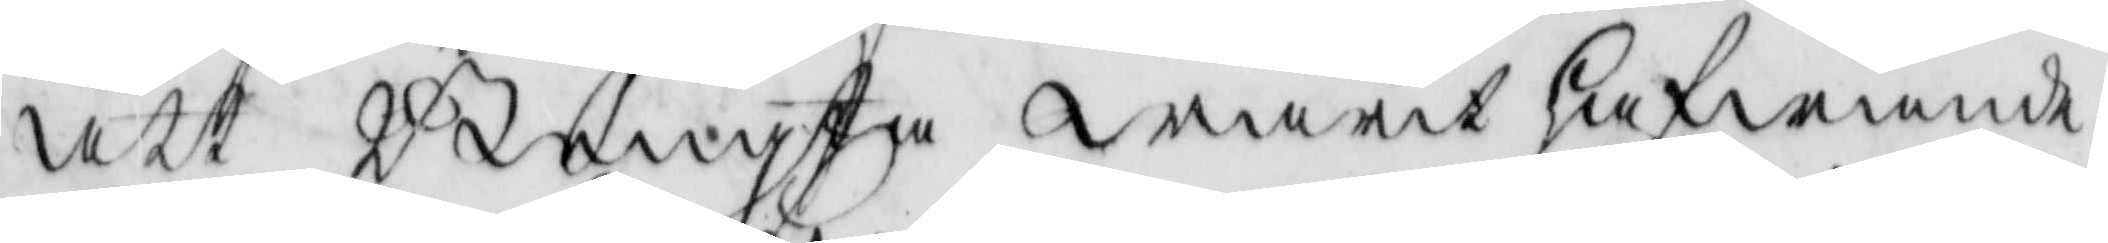att Bengta warit hafwande
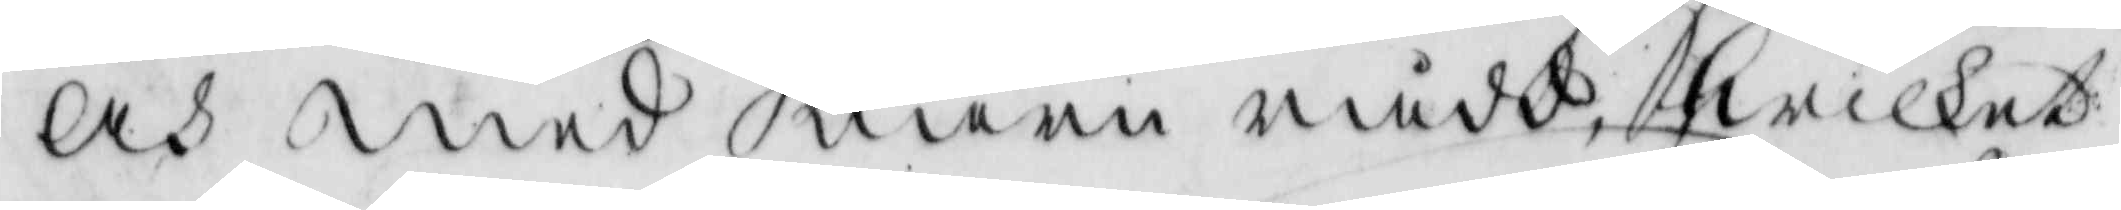och med uarn rådd, hwilket
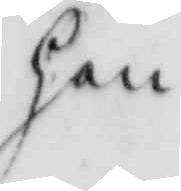hon
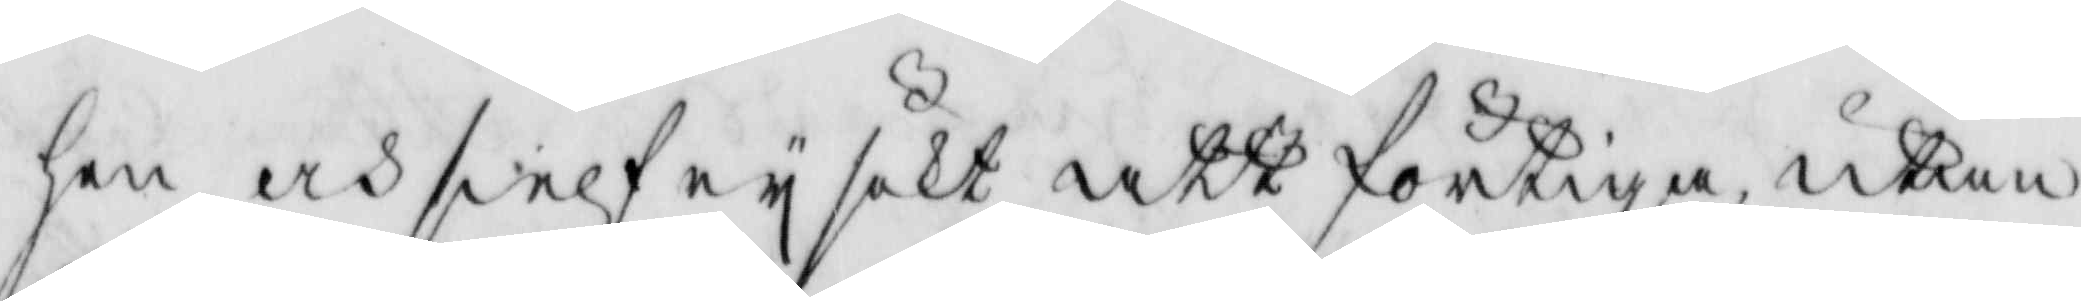hon och sielf ey sökt att förtiga, utan
